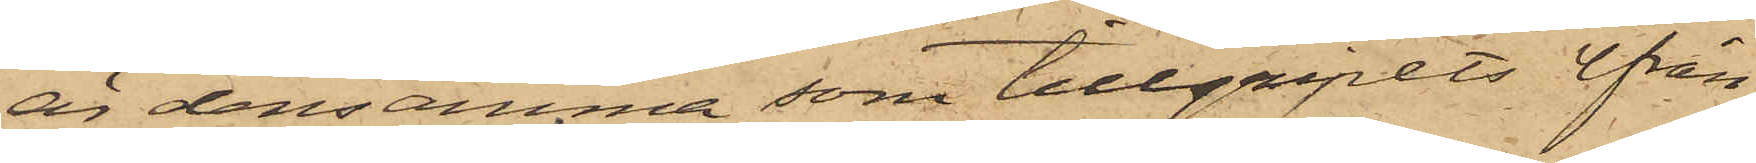är densamma som tillgripits från
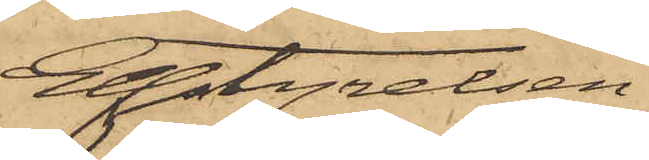Elfstyrelsen.
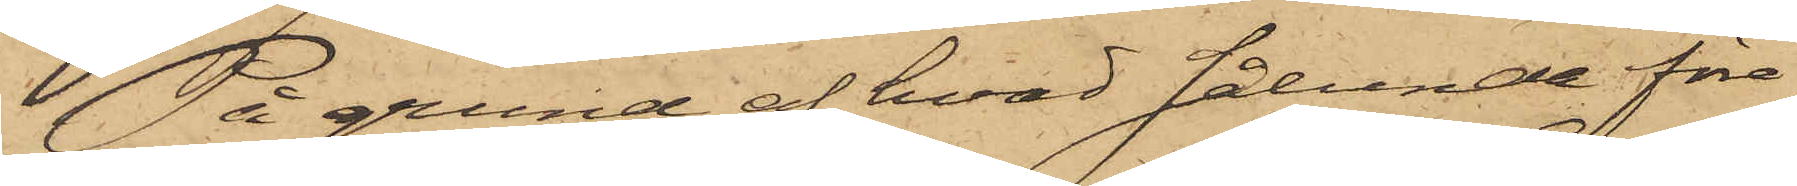På grund af hvad sålunda före¬
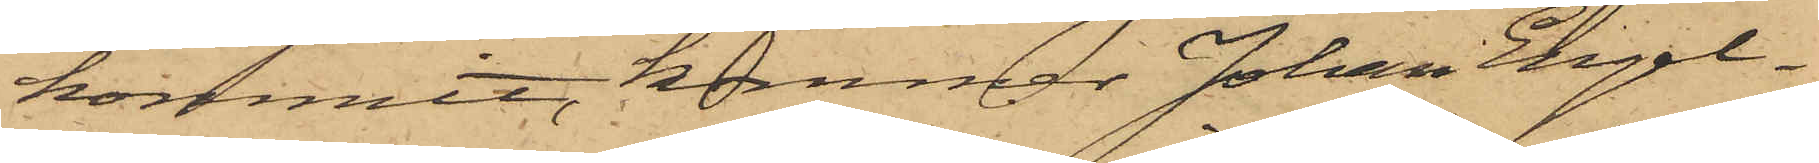kommit, kommer Johan Engel¬
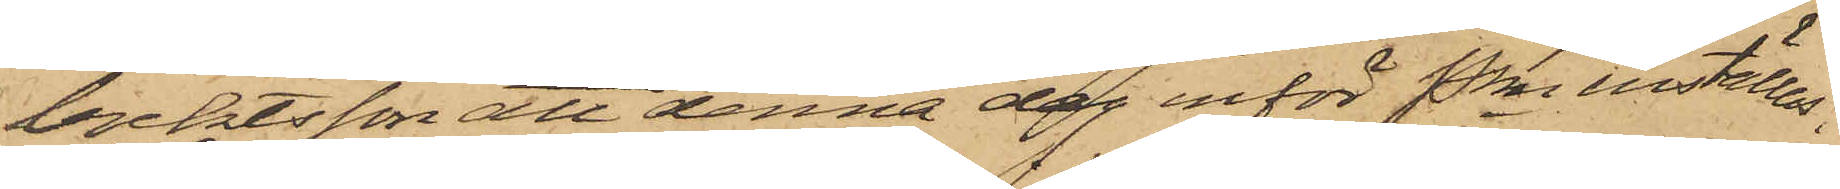brektsson att denna dag inför Pkn inställas.
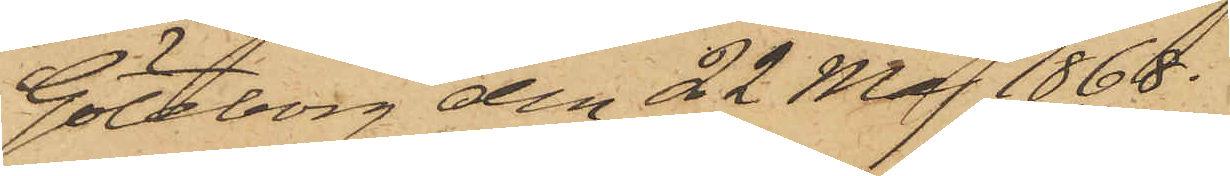Göteborg den 22 Maj 1868.
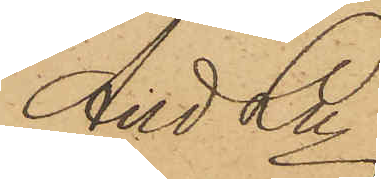And Ln
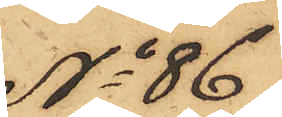No 86
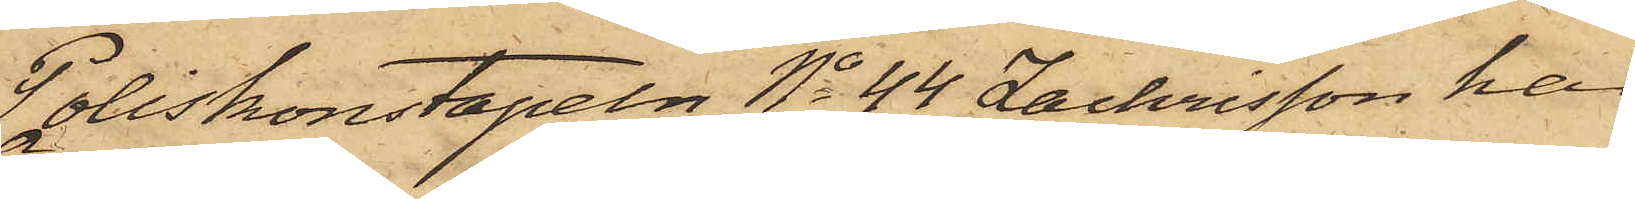Poliskonstapeln No 44 Zachrisson har
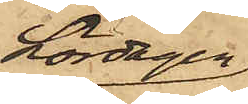Lördagen
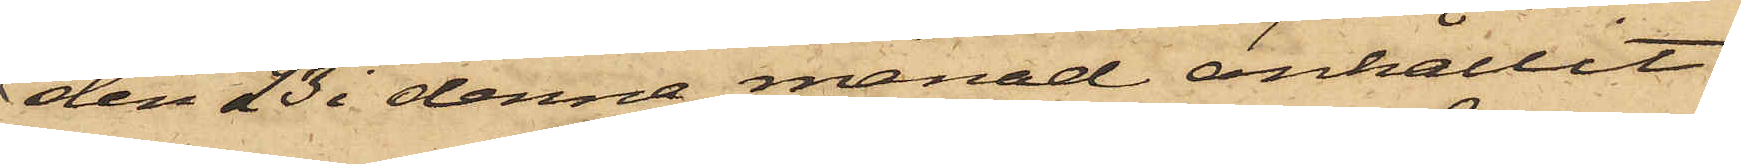den 23 i denna månad anhållit
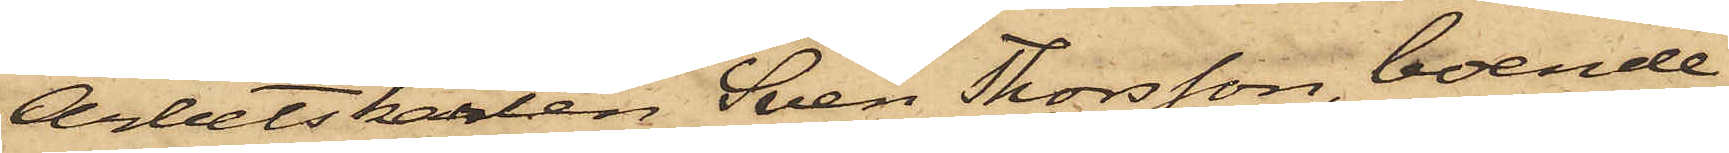Arbetskarlen Sven Thorsson, boende
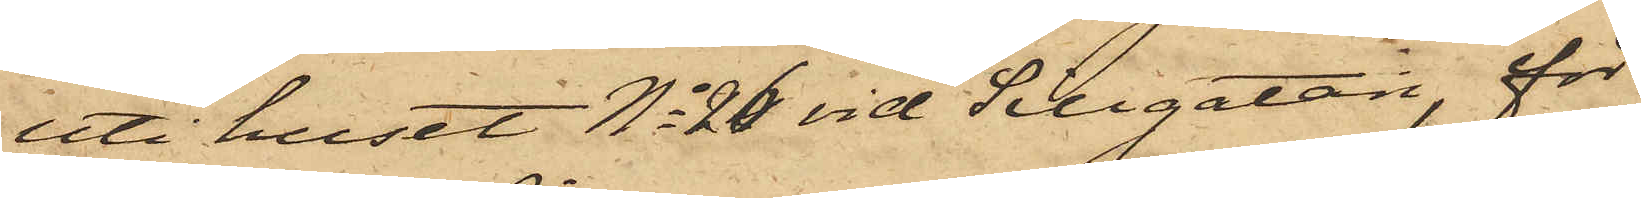uti huset No 26 vid Sillgatan för
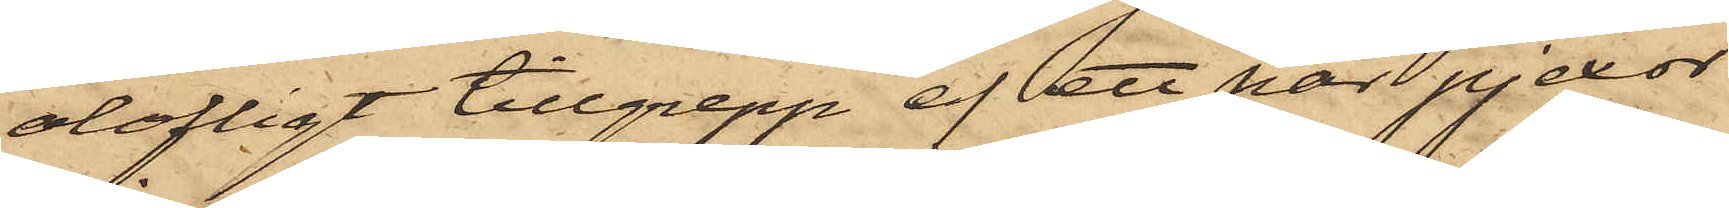olofligt tillgrepp af ett par pjexor
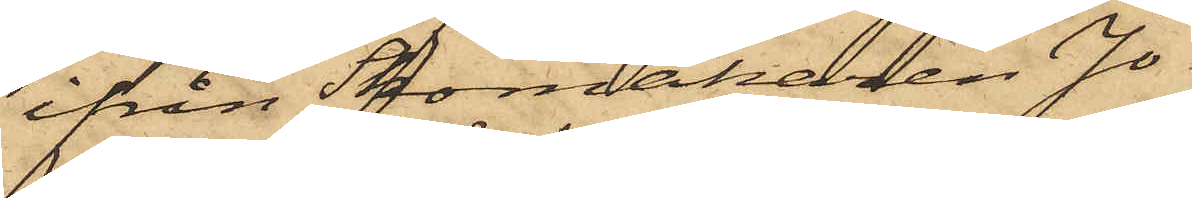ifrån Skomakaren Jo¬
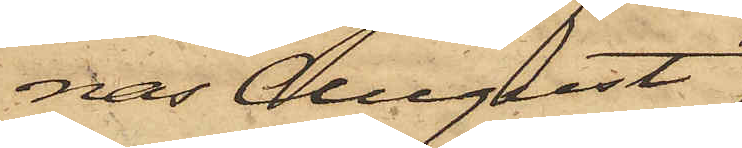nas August
